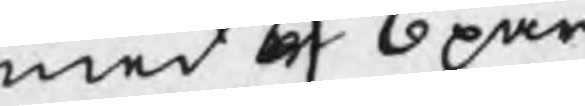med 6 6 par
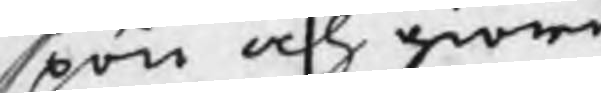spön och giöre
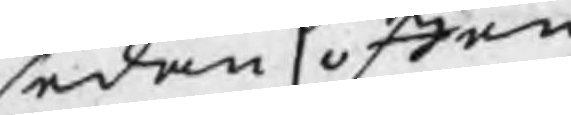sedan offen¬
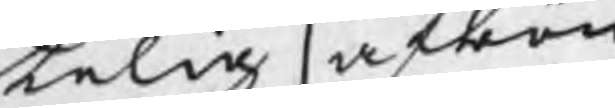telig afbön
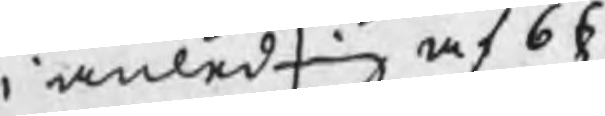i anledning af 6 §
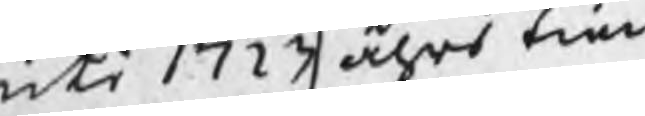uti 1723 åhrs tien
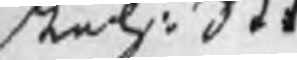stel: St
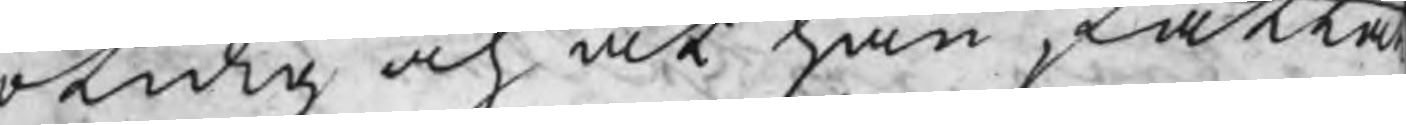otidig och at han fatta
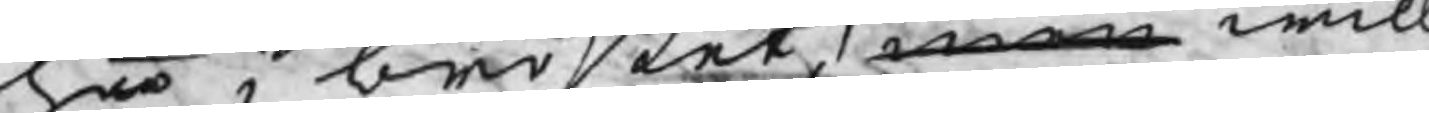hoo i bröstet, men will
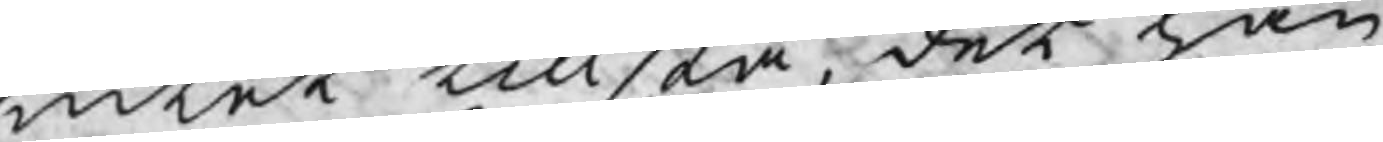intet tillstå, det han
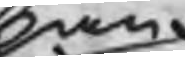han
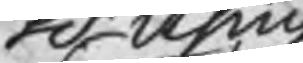H Using
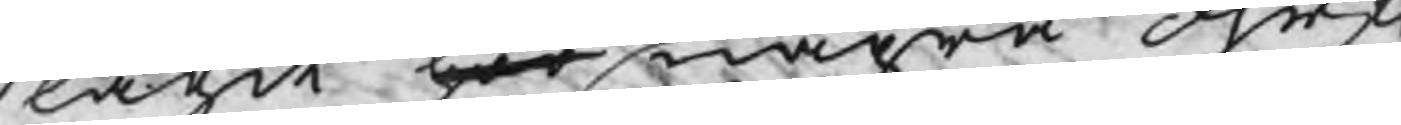slagit hoo några öhrf
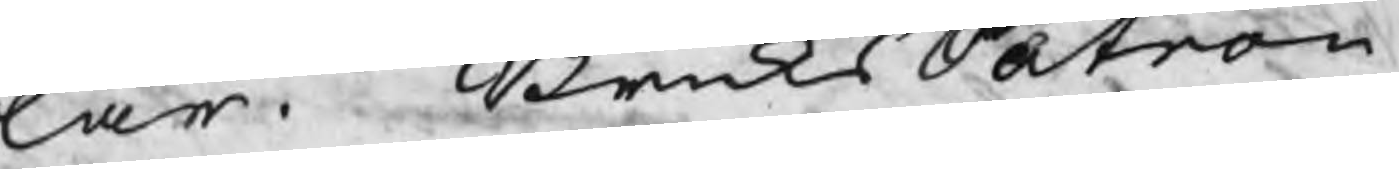lar. BruksPatron
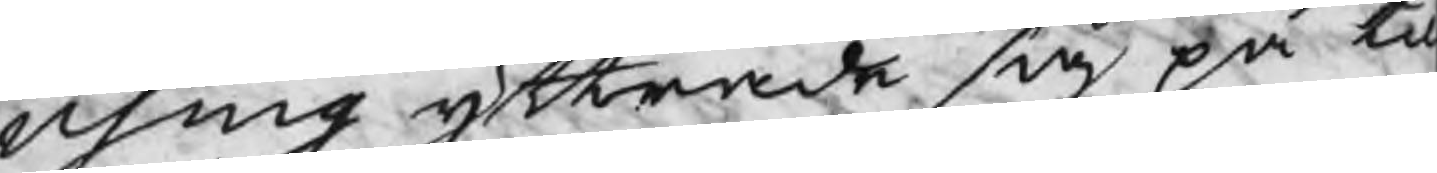Using yttrade sig på ti
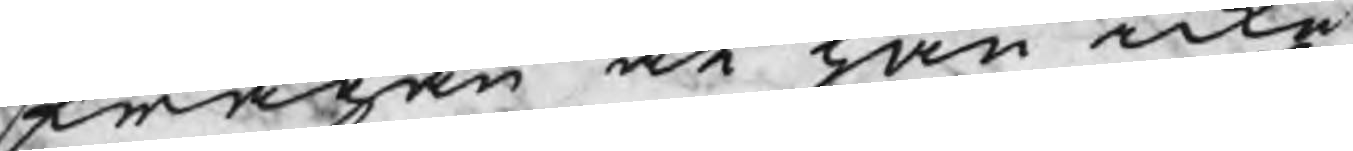frågan at han icke
